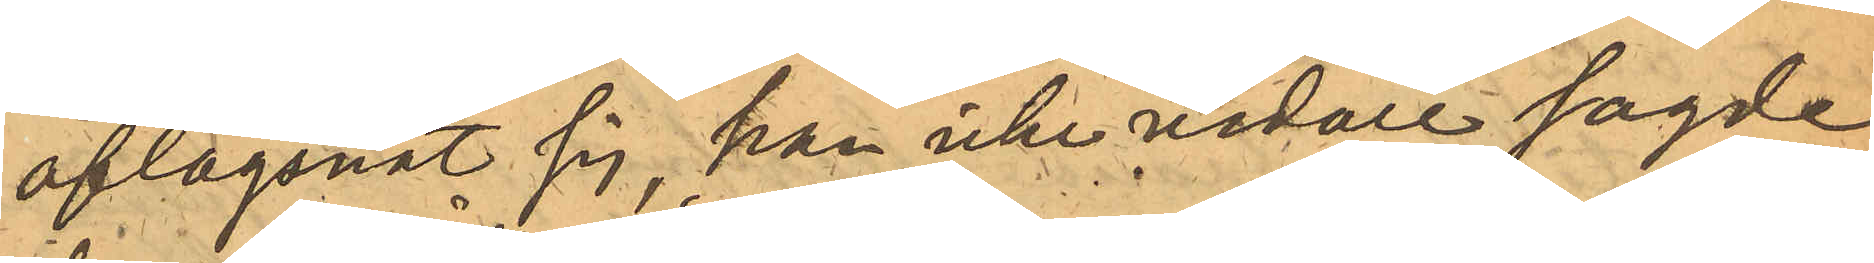aflägsnat sig, han icke vidare sagde
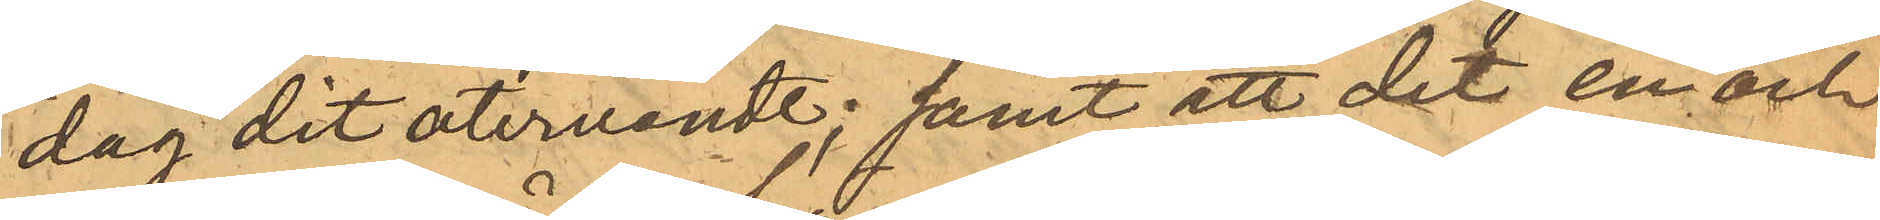dag dit återvändt; samt att det en och
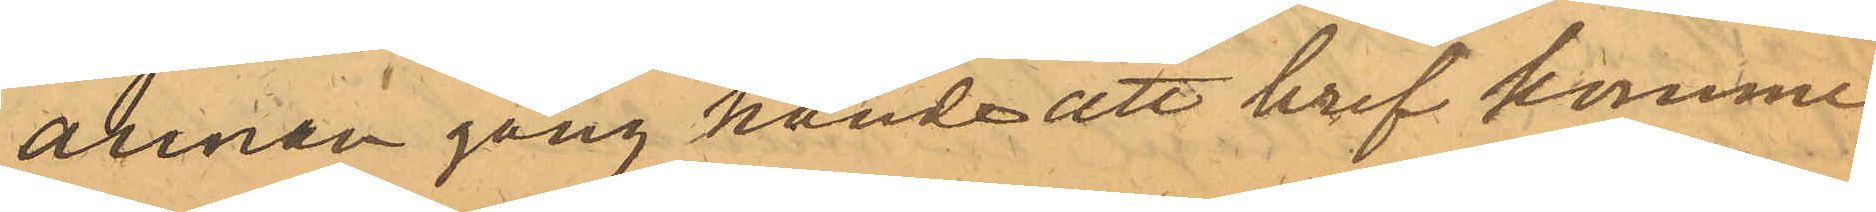annan gång hände att bref komme
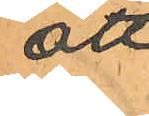att
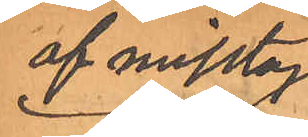af misstag
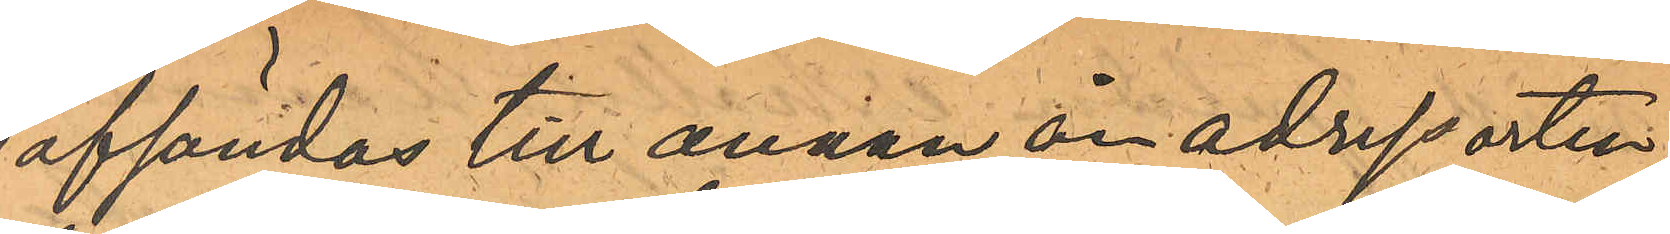afsändas till annan än adressorten,
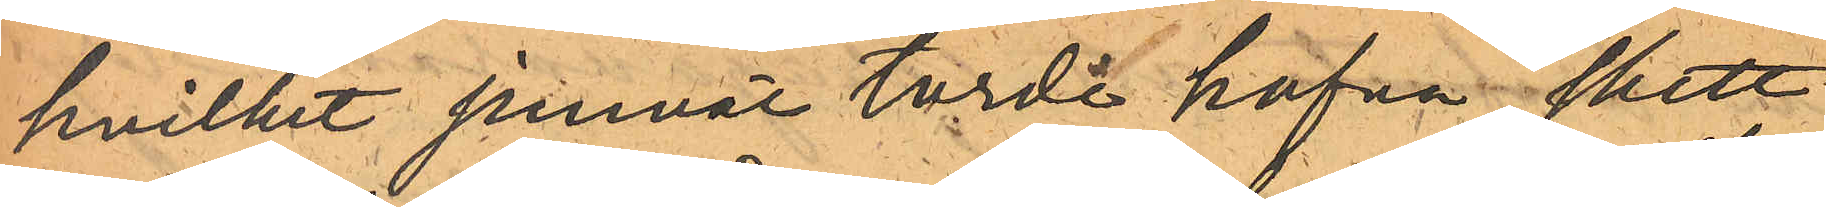hvilket jemväl torde hafva skett
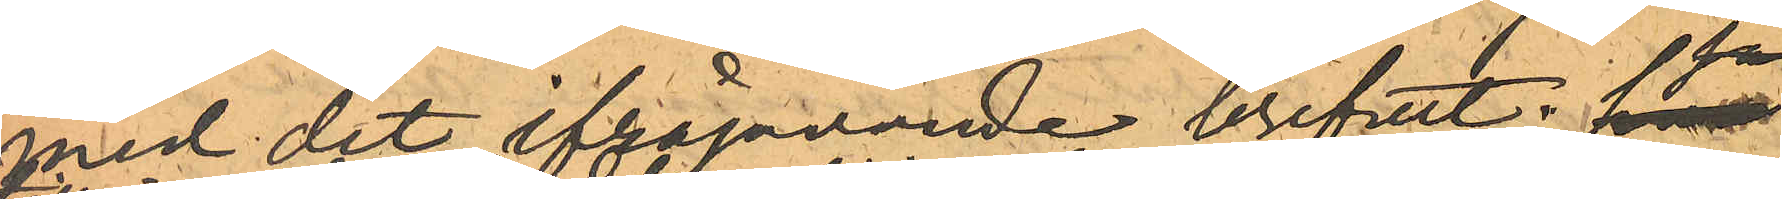med det ifrågavarande brefvet.
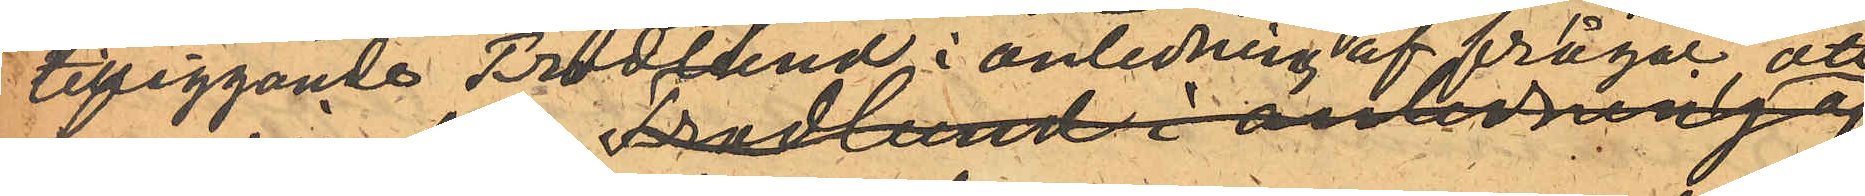tilläggande Frodlund i anledning af fråga,  att
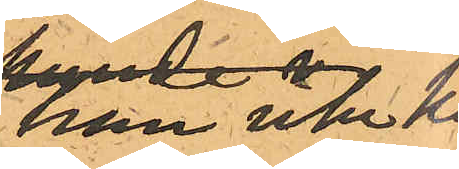han icke kun¬
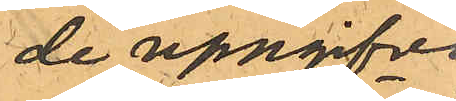de uppgifva
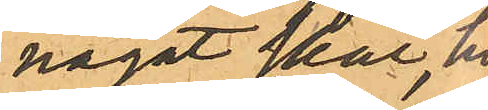något skäl, hvar-
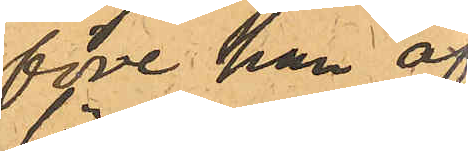före han af¬
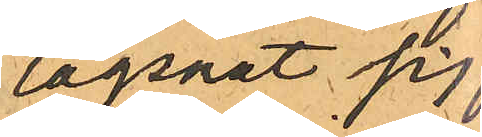lägsnat sig från
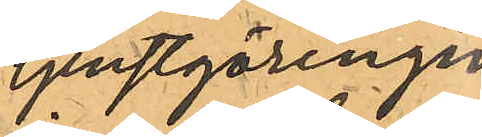tjenstgöringen
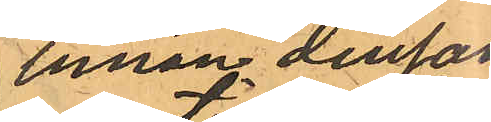innan densam¬
